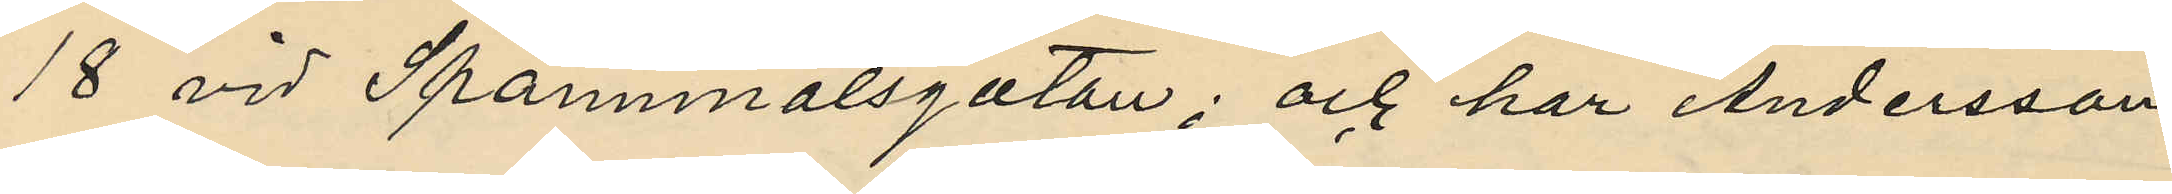18 vid Spannmålsgatan; och har Andersson,
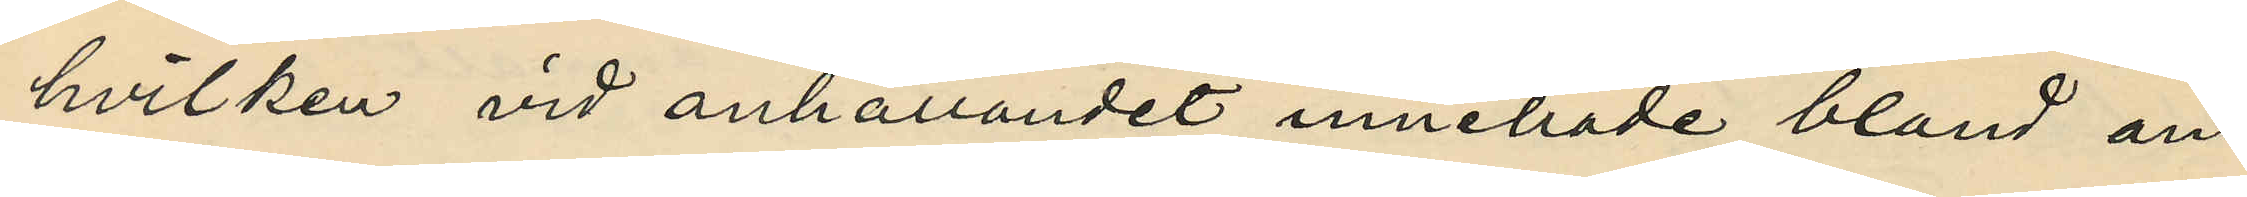hvilken vid anhållandet innehade, bland an¬
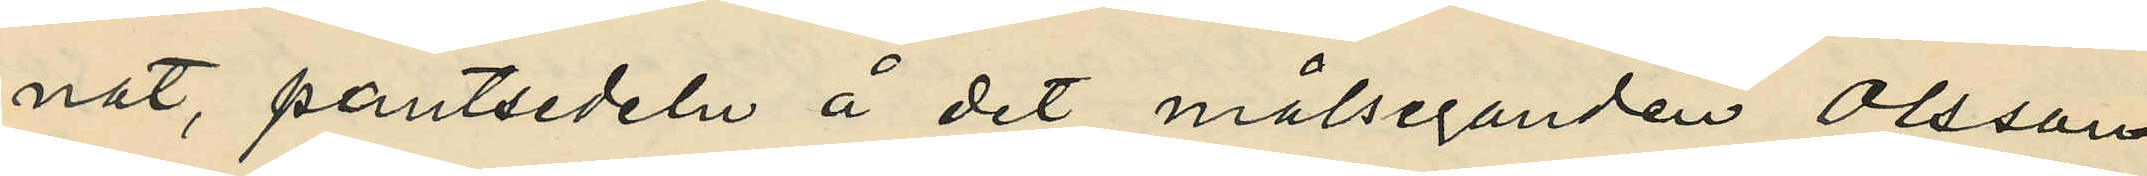nat, pantsedeln å det målseganden Olsson
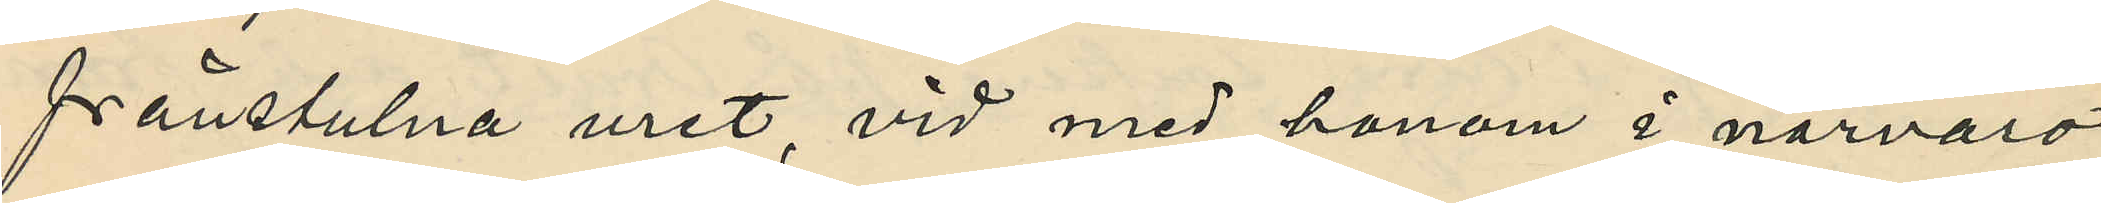frånstulna uret, vid med honom i närvaro
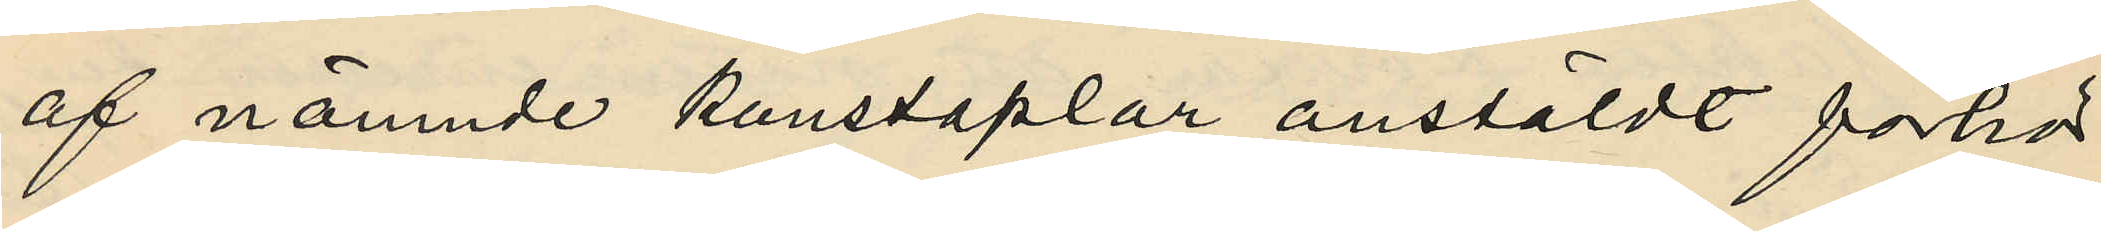af nämnde konstaplar anstäldt förhör
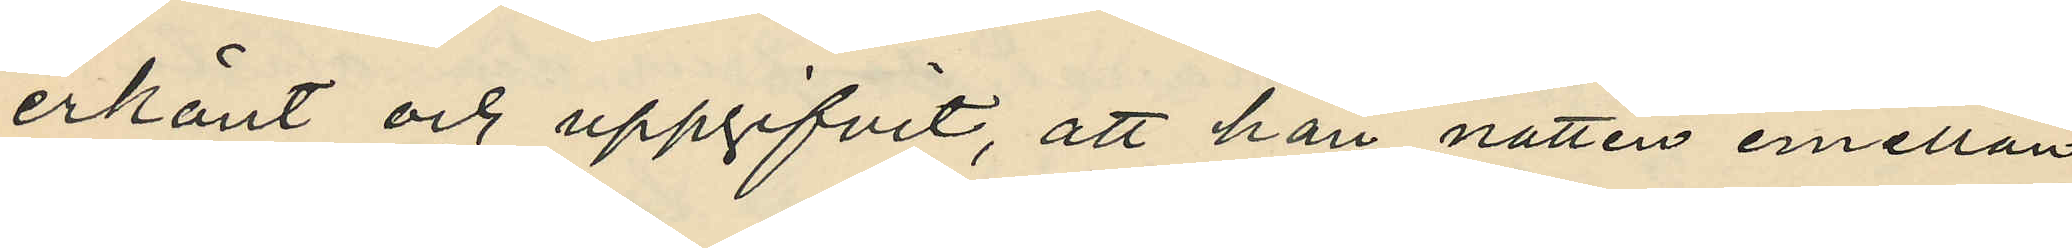erkänt och uppgifvit, att han natten emellan
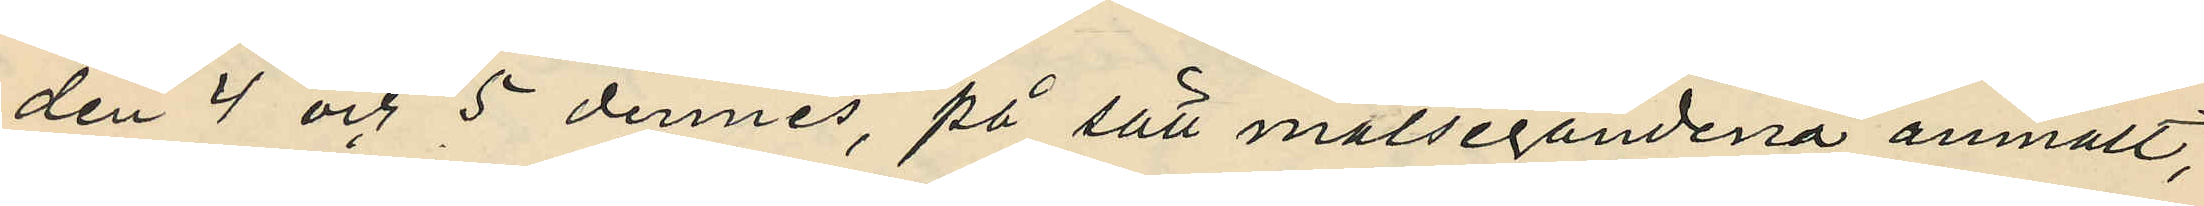den 4 och 5 dennes, på sätt målsegandena anmält,
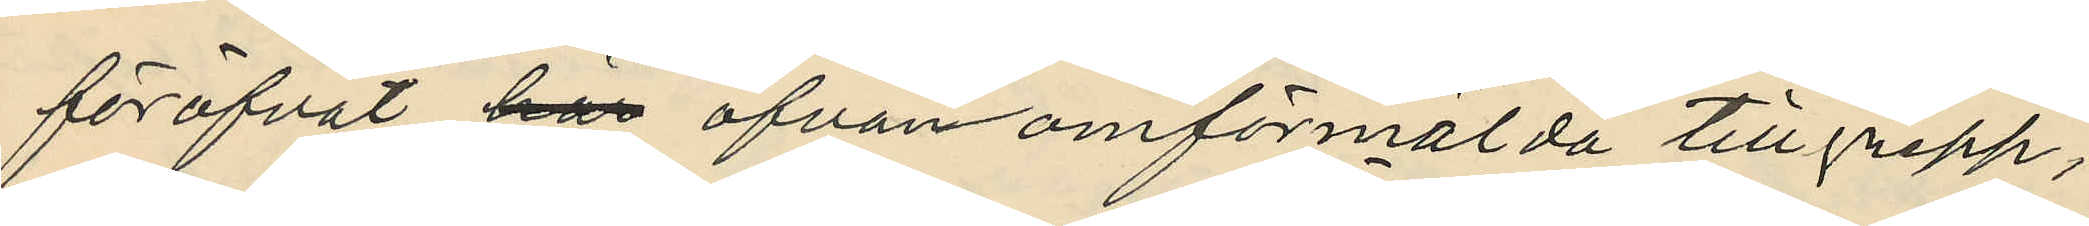föröfvat här ofvan omförmälda tillgrepp;
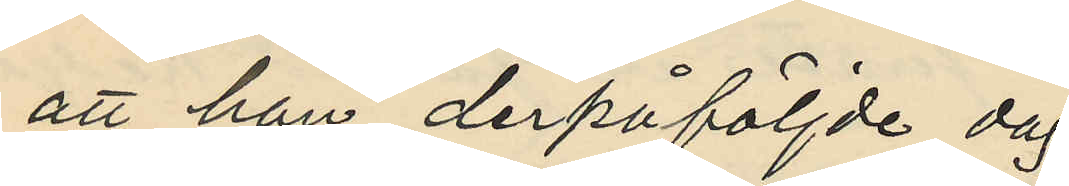att han derpåföljde dag
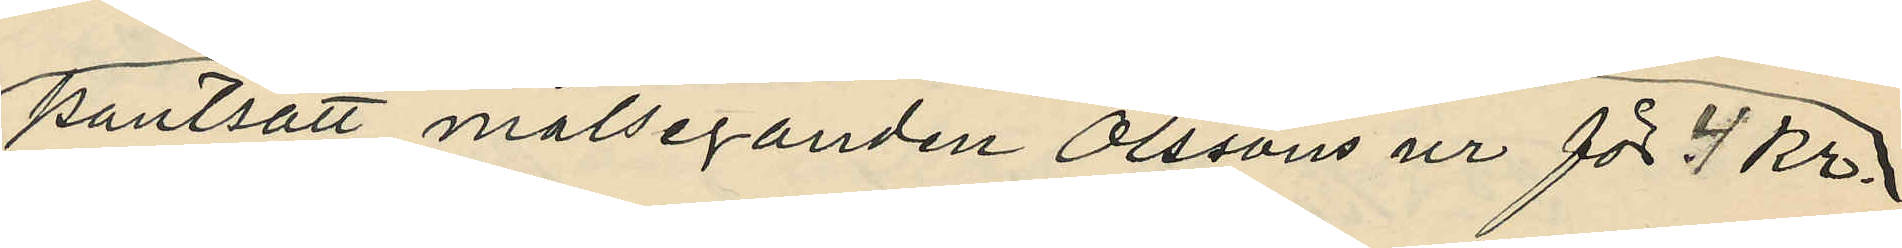pantsatt målseganden Olssons ur för 4 kr.
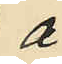å
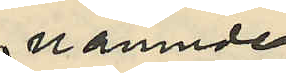nämnde
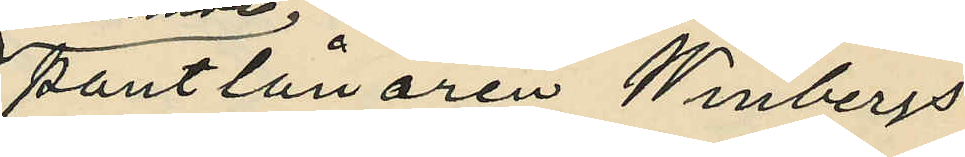pantlånaren Winbergs
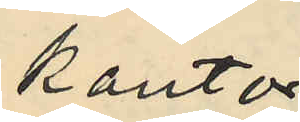kontor
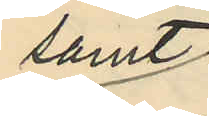samt
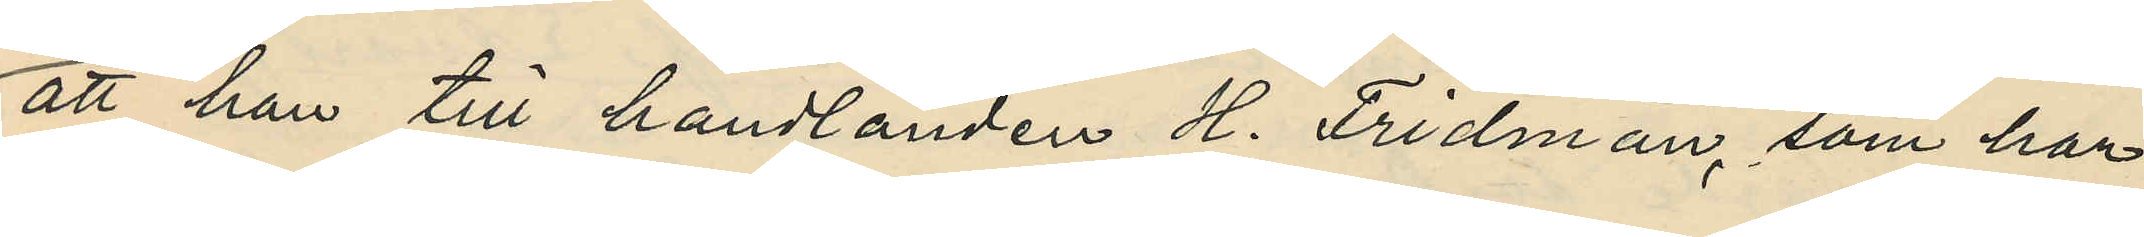att han till handlanden H. Fridman, som har
